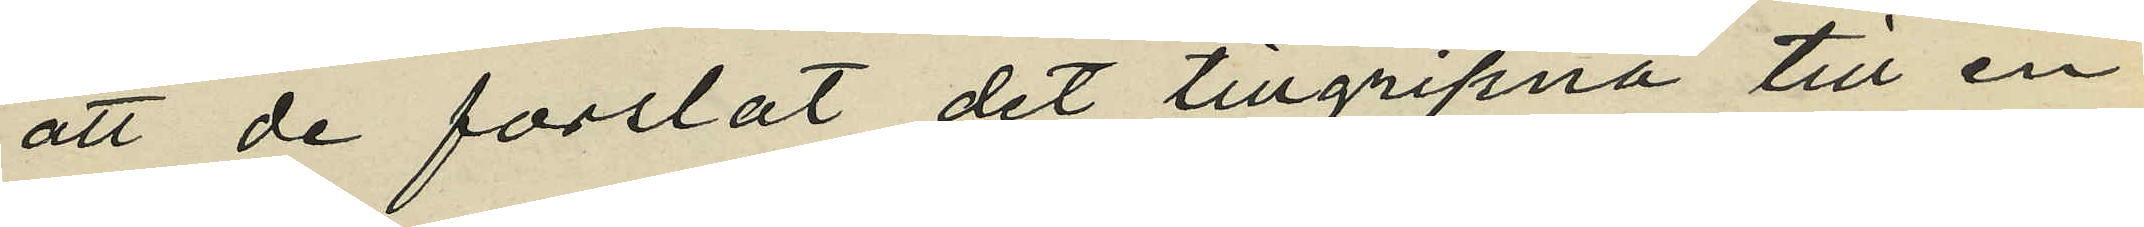att de forslat det tillgripna till en
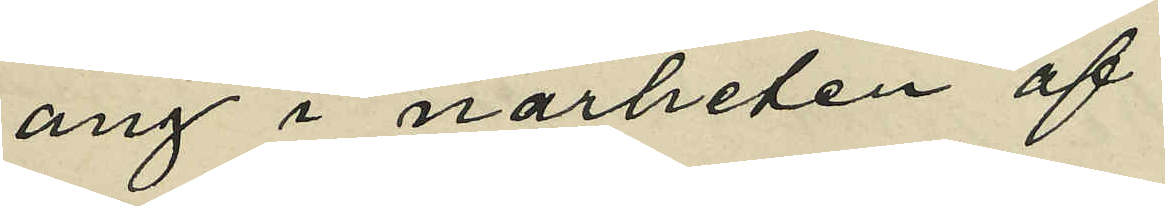äng i närheten af
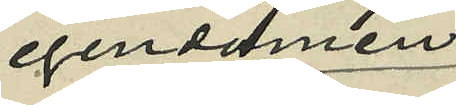egendomen
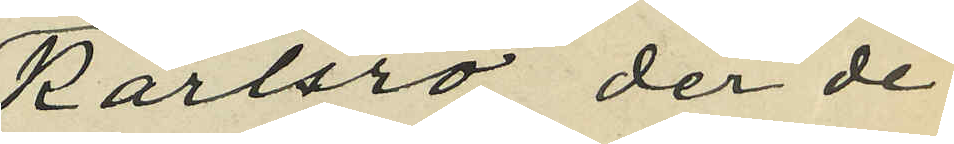Karlsro, der de
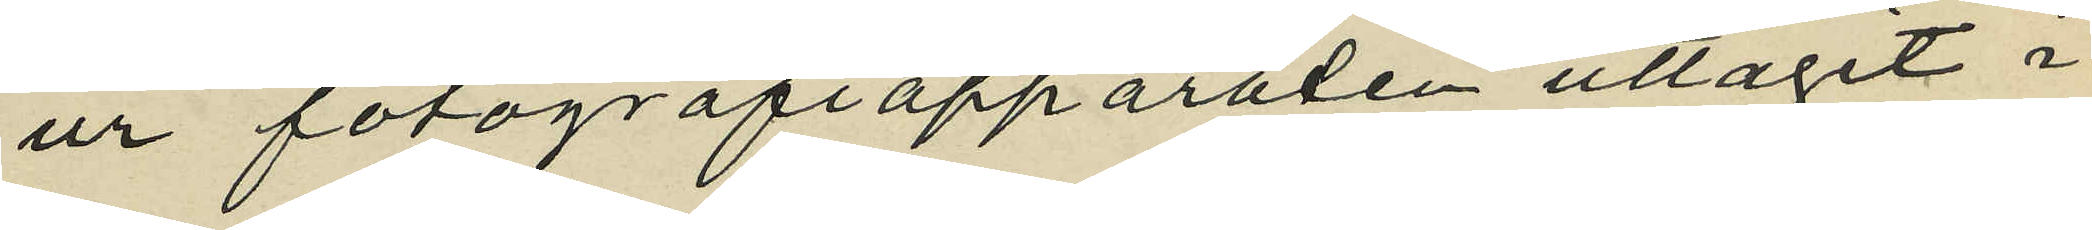ur fotografiapparaten uttagit i
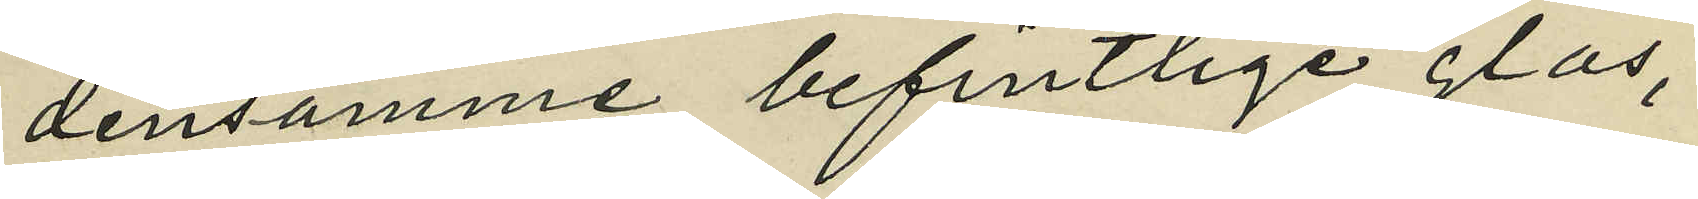densamme befintlige glas,
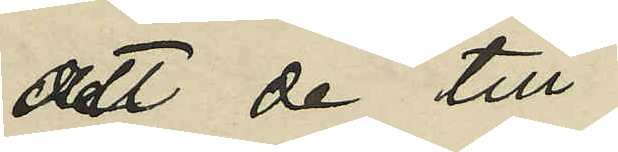att de till
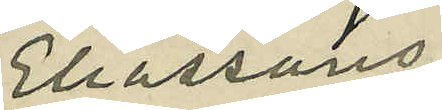Eliassons
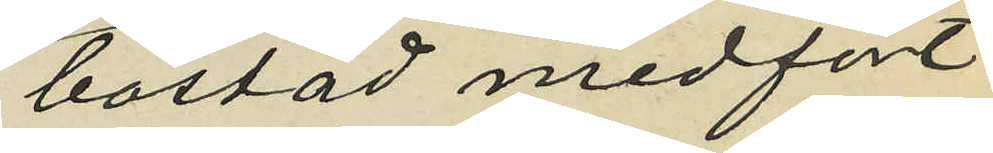bostad medfört
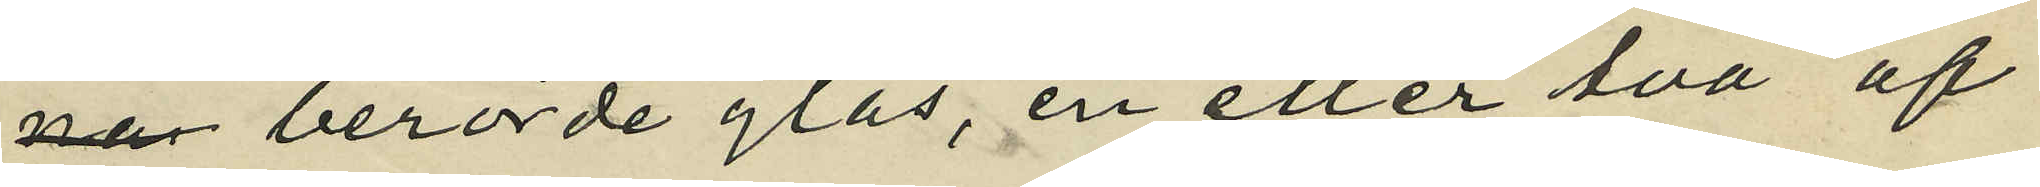berörde glas, en eller två af
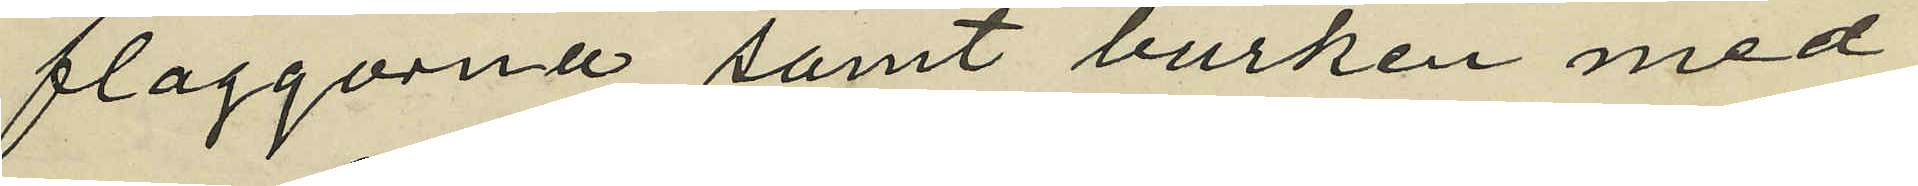flaggorna samt burken med
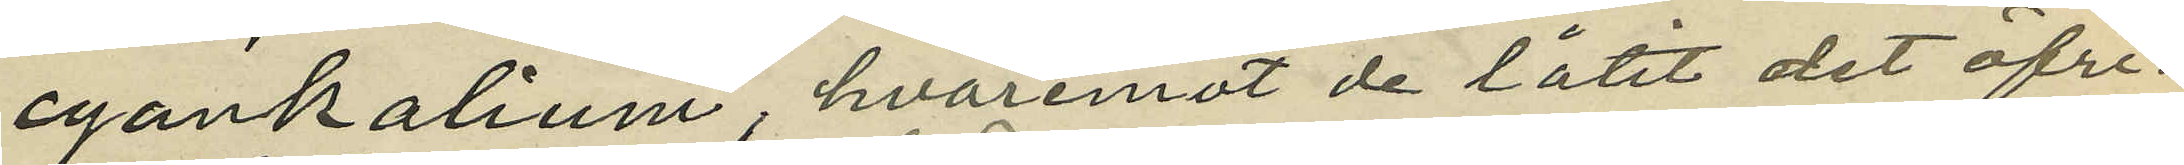cyankalium, hvaremot de låtit det öfri¬
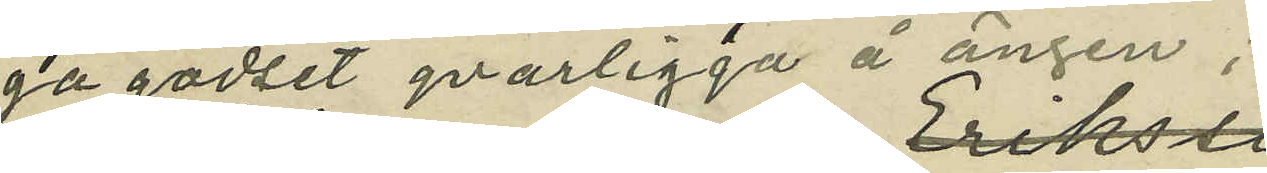ga godset qvarligga å ängen;
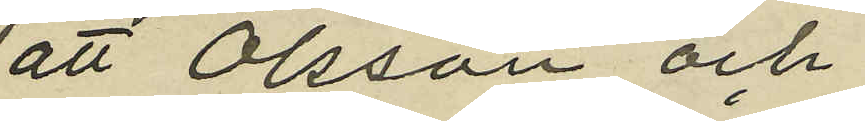att Olsson och
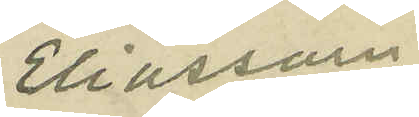Eliasson
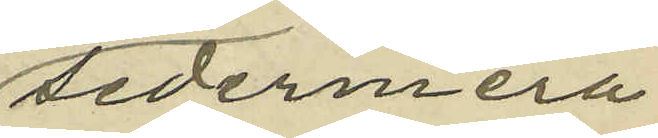sedermera
